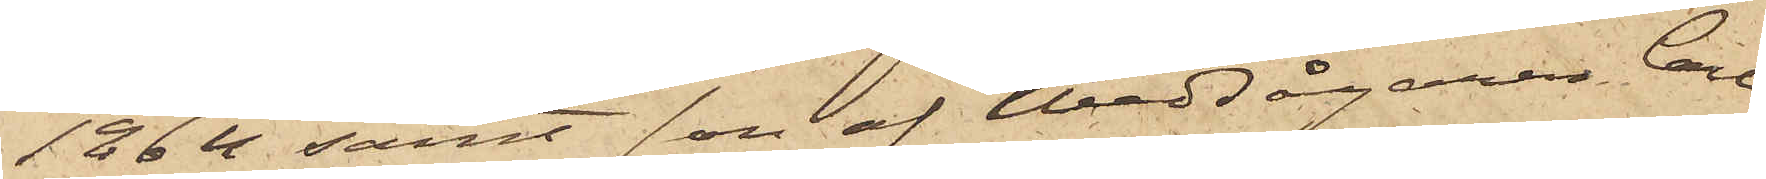1864 samt son af Wedsågaren Carl
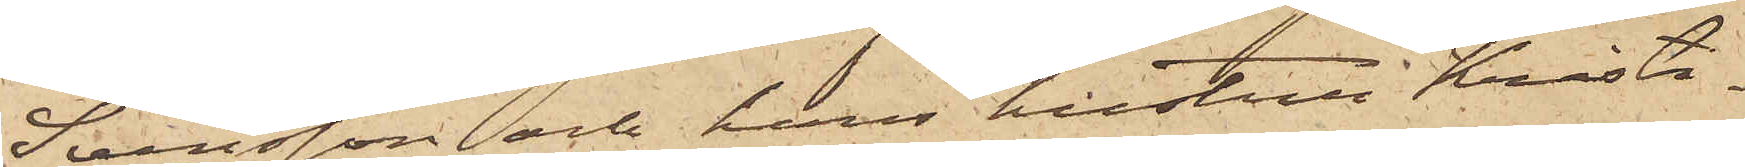Svensson och hans hustru Kristi¬
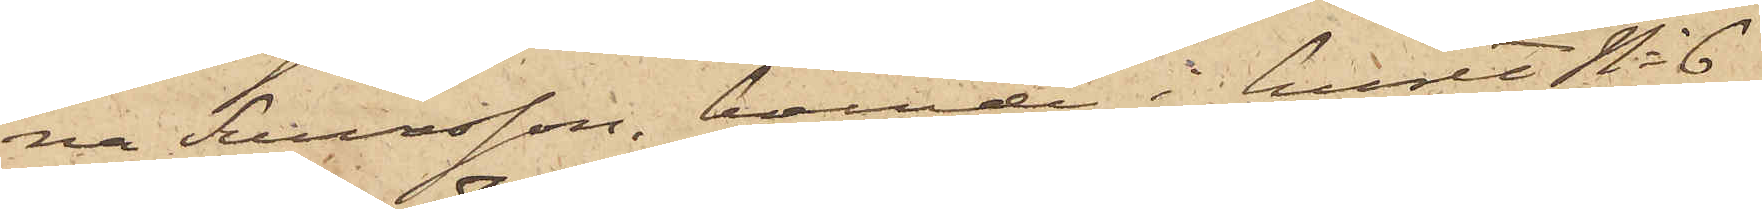na Svensson, boende i huset No 6
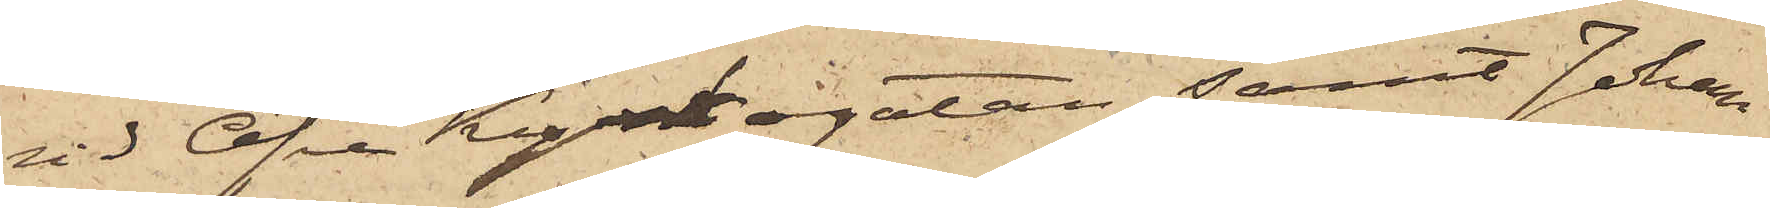vid Öfre Kyrkogatan, samt Johan
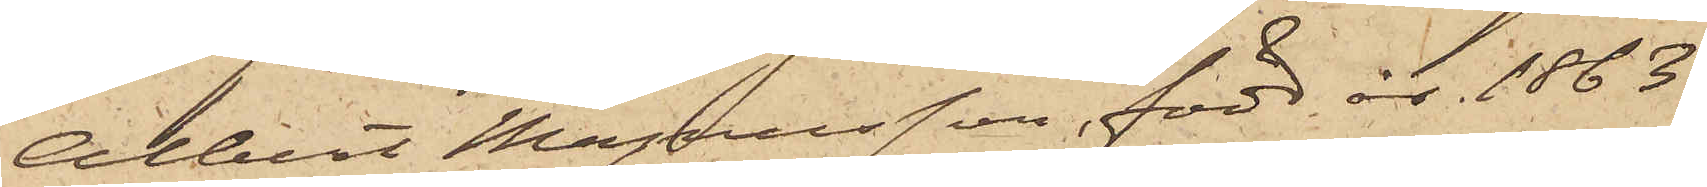Albert Magnusson, född år 1863
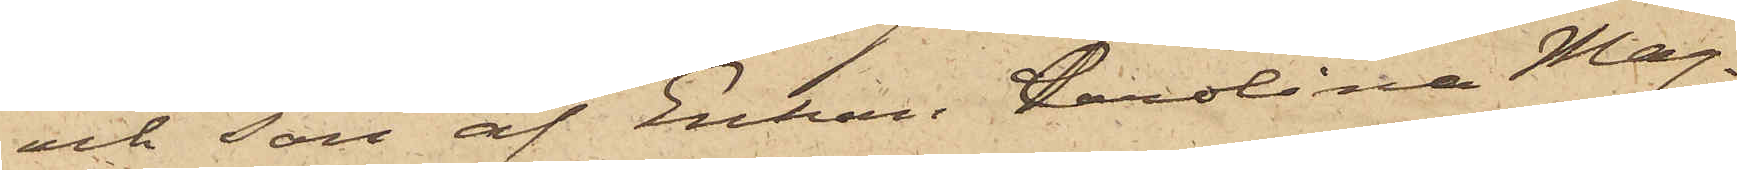och son af Enkan Carolina Mag¬
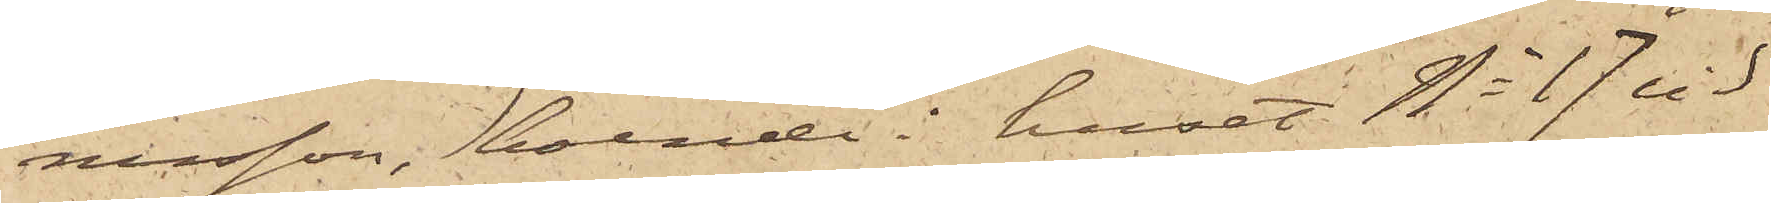nusson, boende i huset No 17 vid
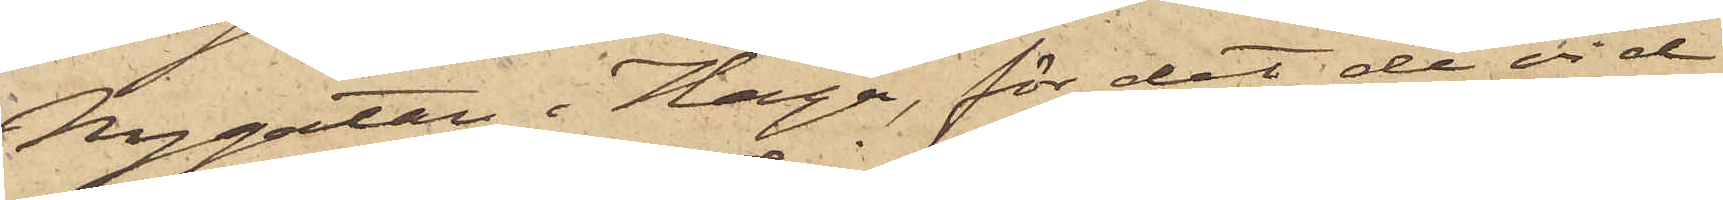Nygatan i Haga, för det de vid
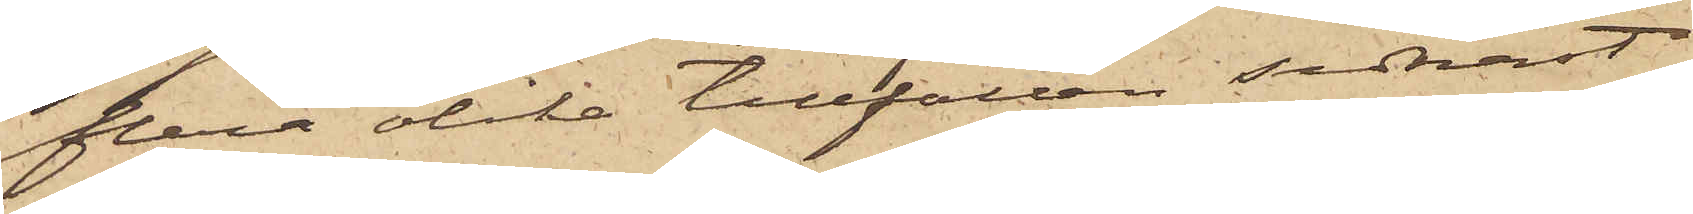flera olika tillfällen sednast
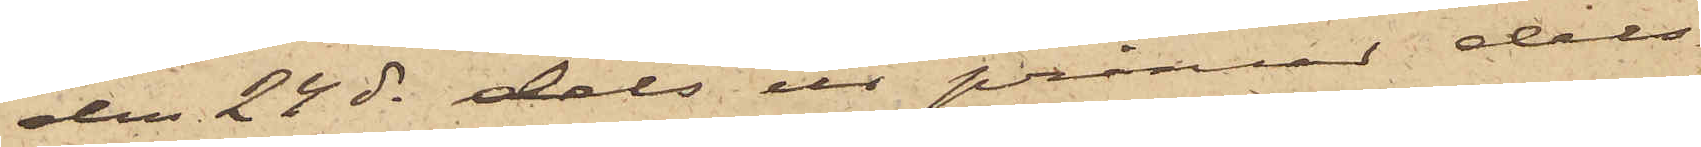den 24 ds dels ur pråmar dels
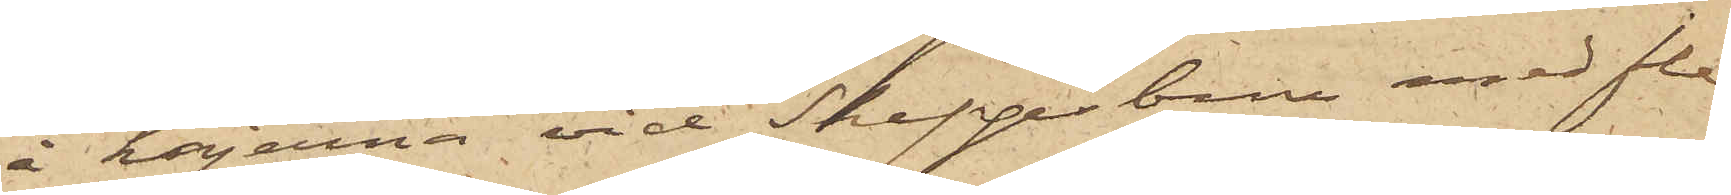å kajerna vid Skeppsbron med fle¬
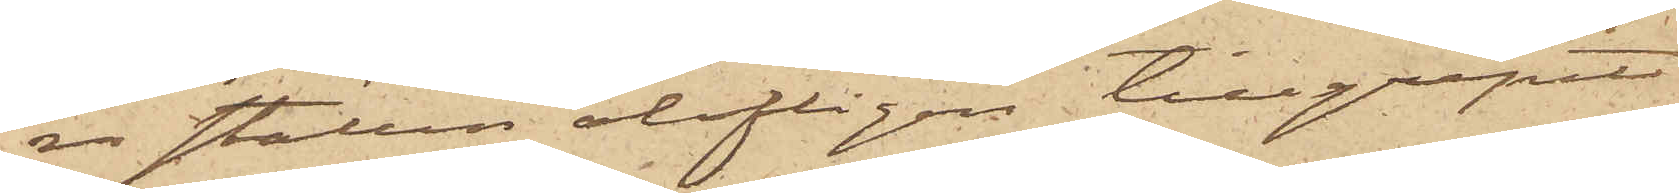ra ställen olofligen tillgripit
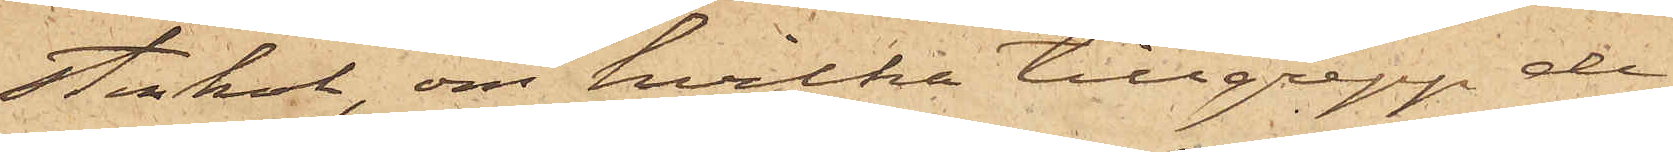stenkol, om hvilka tillgrepp de
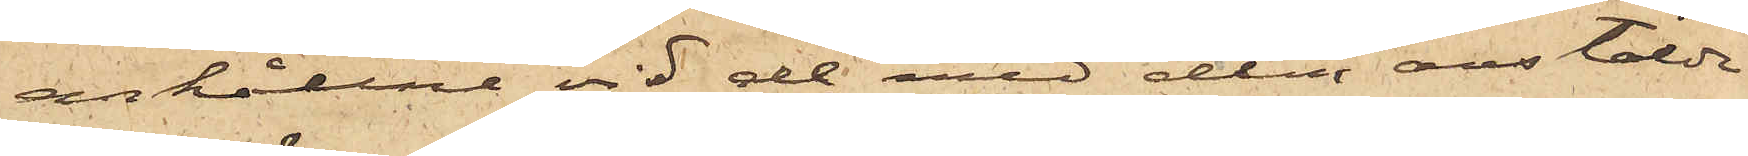anhållne vid de med dem anstälda
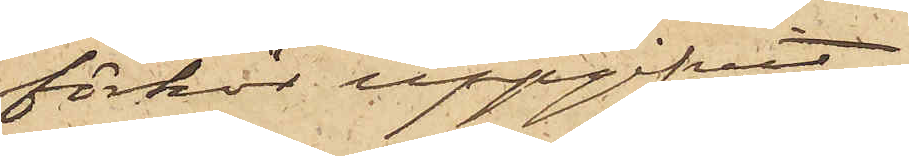förhör uppgifvit
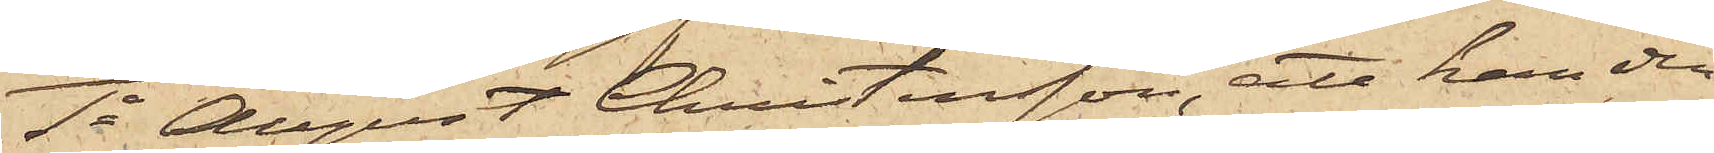1o August Christensson, att han den
